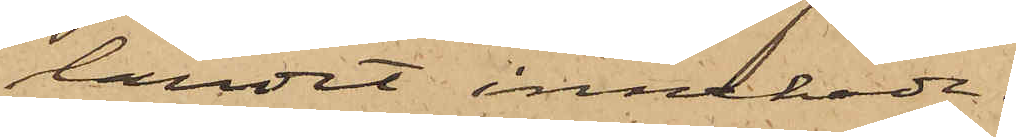landet innehade.
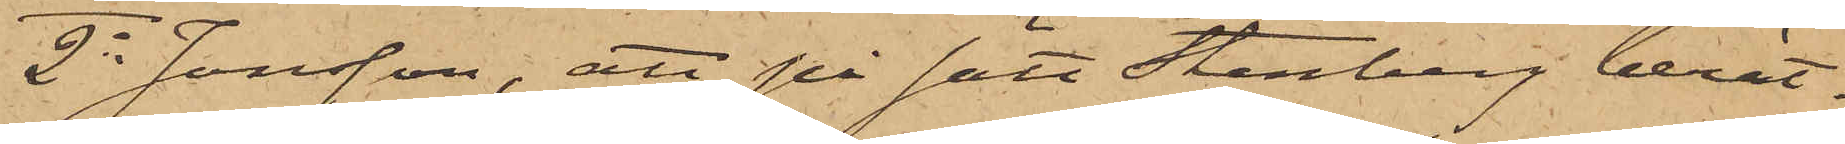2o Jonsson, att på sätt Stenberg berät¬
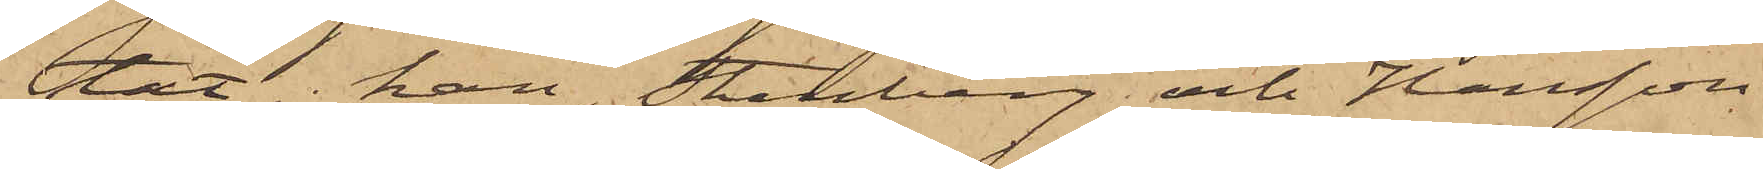tat, han, Stenberg och Hansson
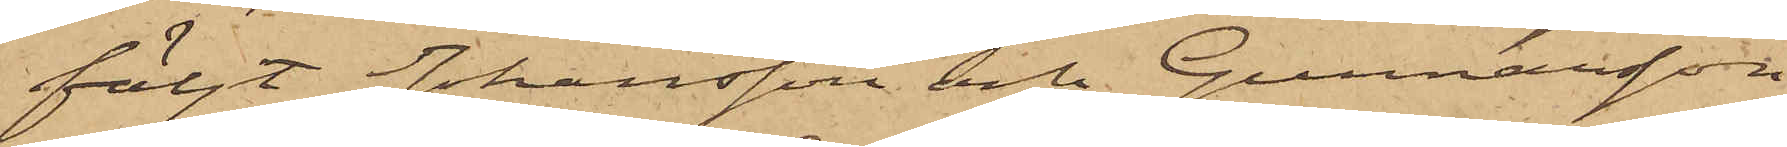följt Johansson och Gunnarsson
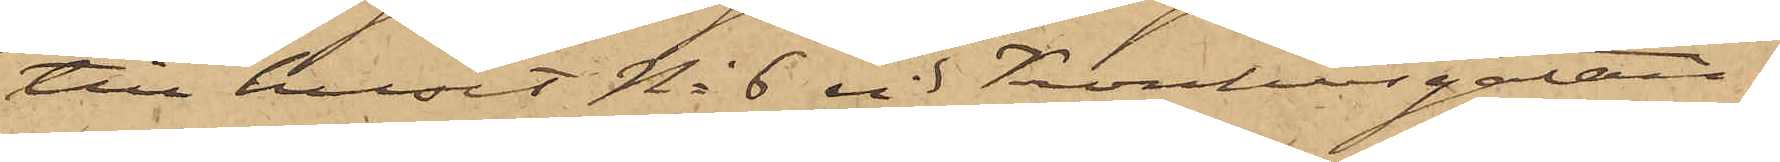till huset No 6 vid Kronhusgatan;
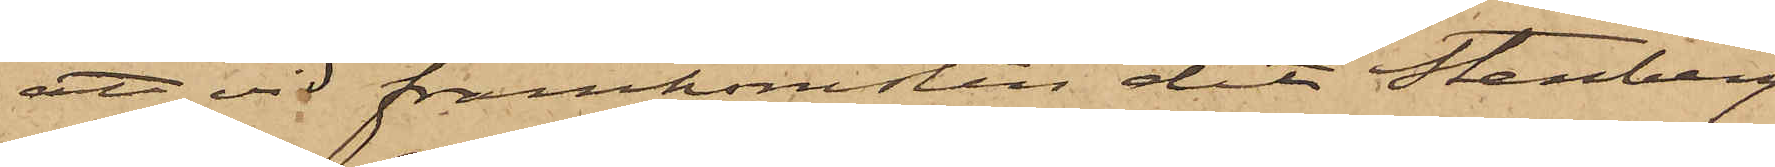att vid framkomsten dit Stenberg
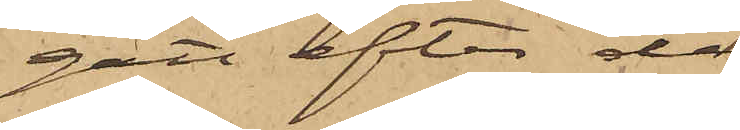gått efter de
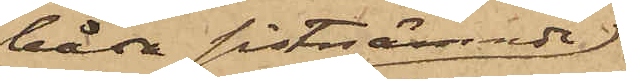båda sistnämnde
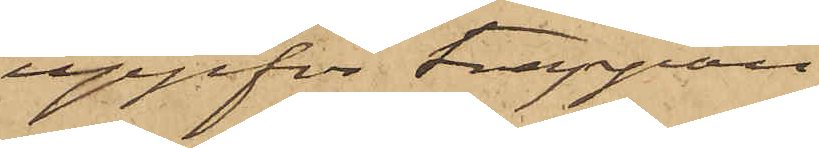uppför trappan
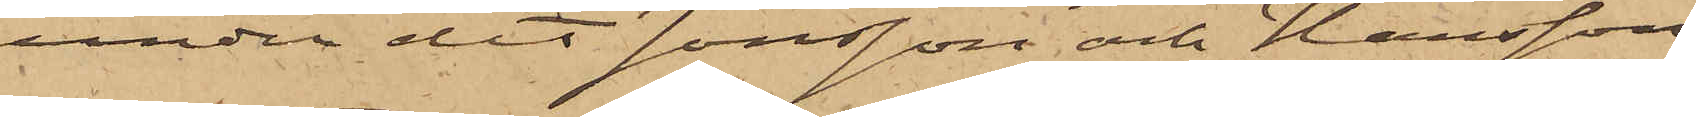under det Jonsson och Hansson
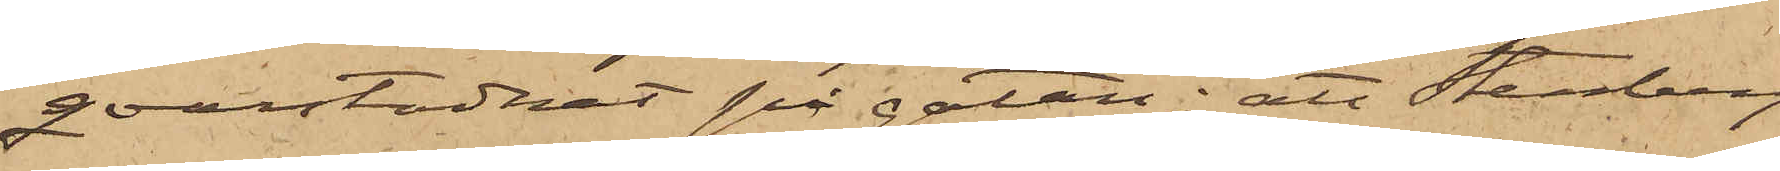qvarstadnat på gatan; att Stenberg
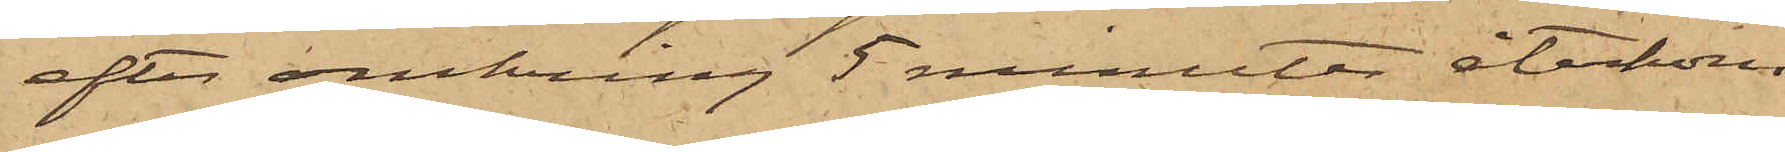efter omkring 5 minuter återkom¬
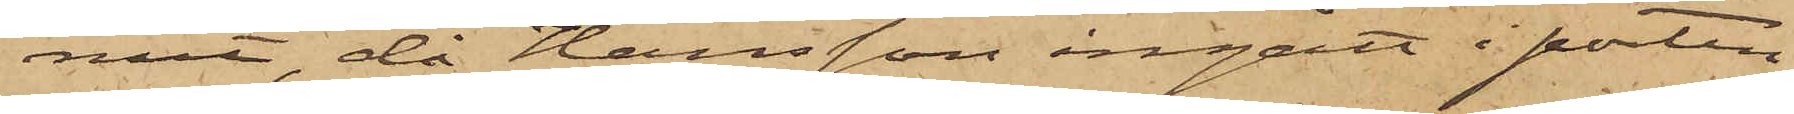mit, då Hansson ingått i porten
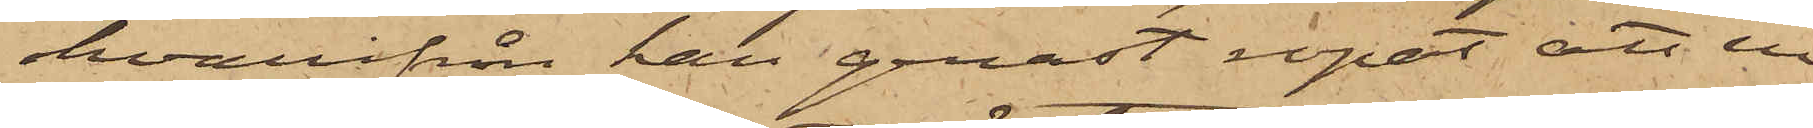hvarifrån han genast ropat att en
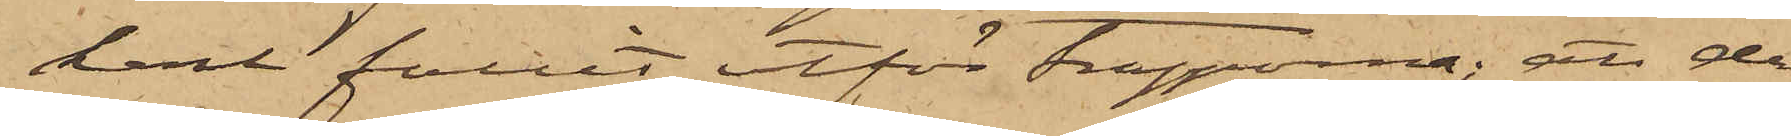karl fallit utför trapporna; att de
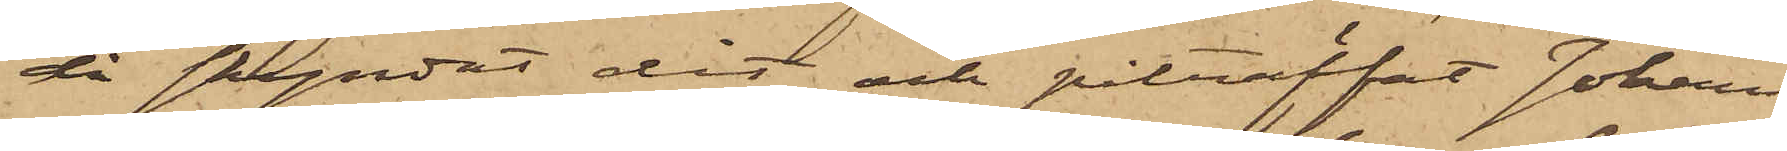då skyndat dit och påträffat Johans¬
